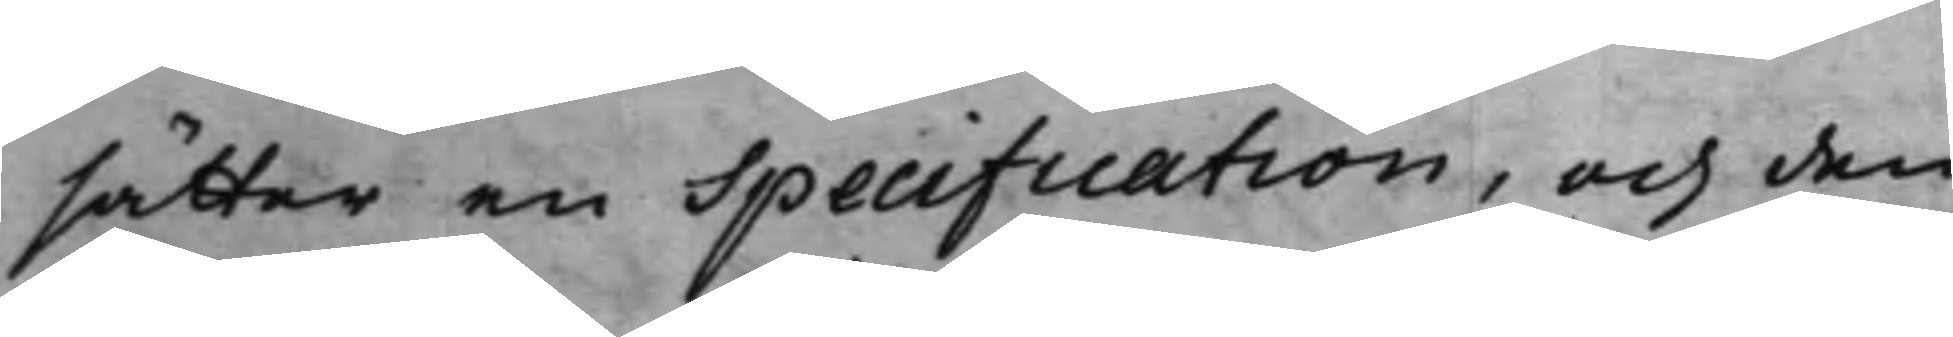sätter en Specification, och den
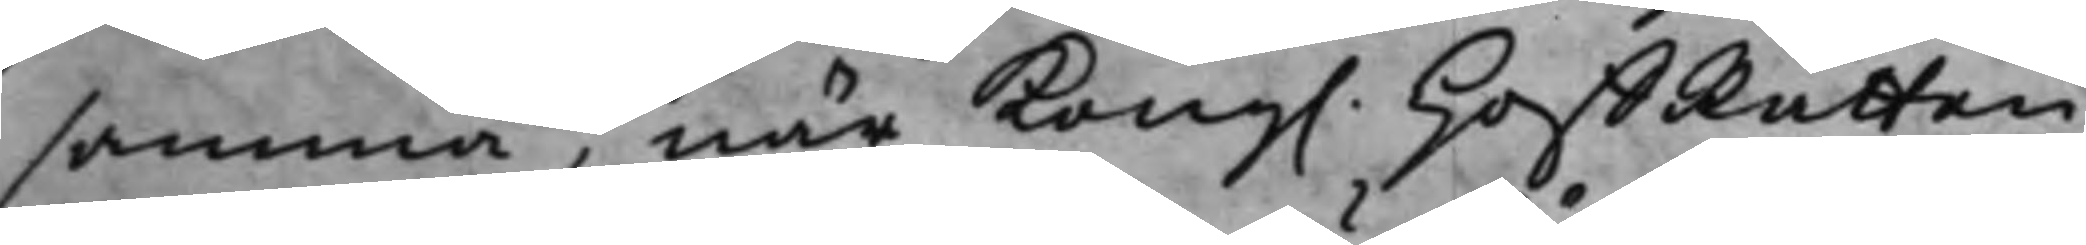samma, när Kong. HoffRätten
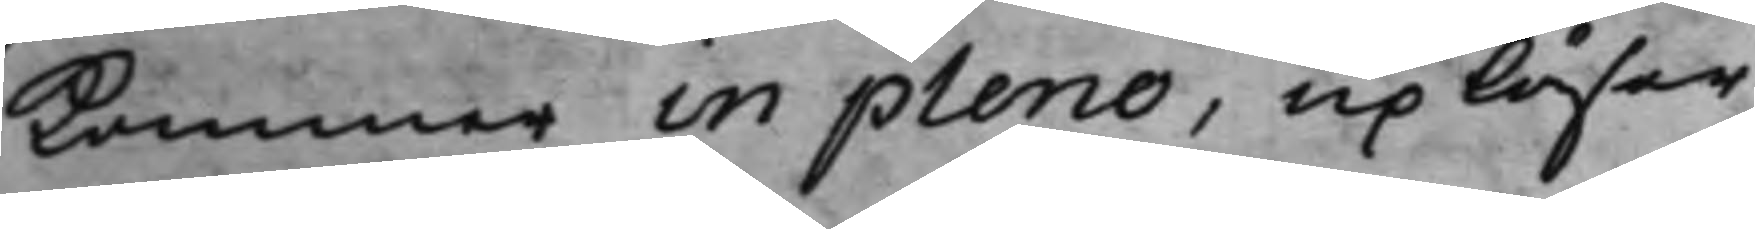Kommer in pleno, upläser.
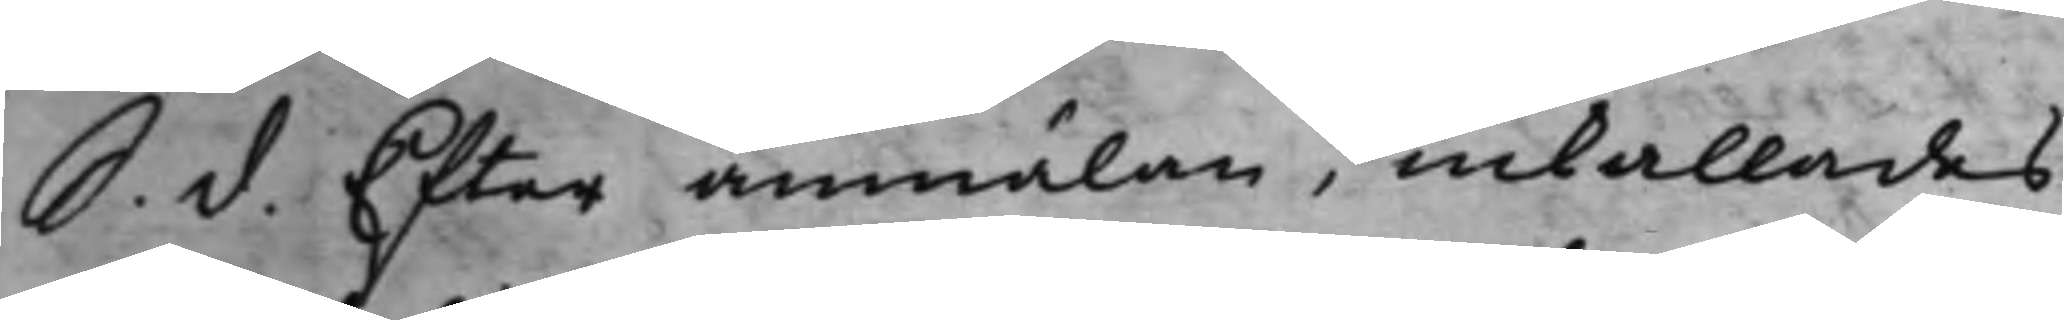S. d. Efter anmälan, inkallades
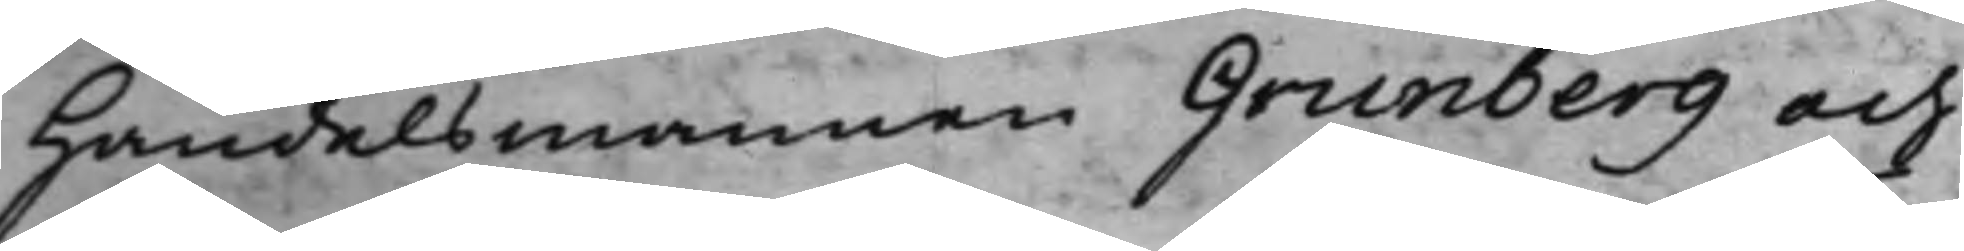Handelsmannen Grunberg och
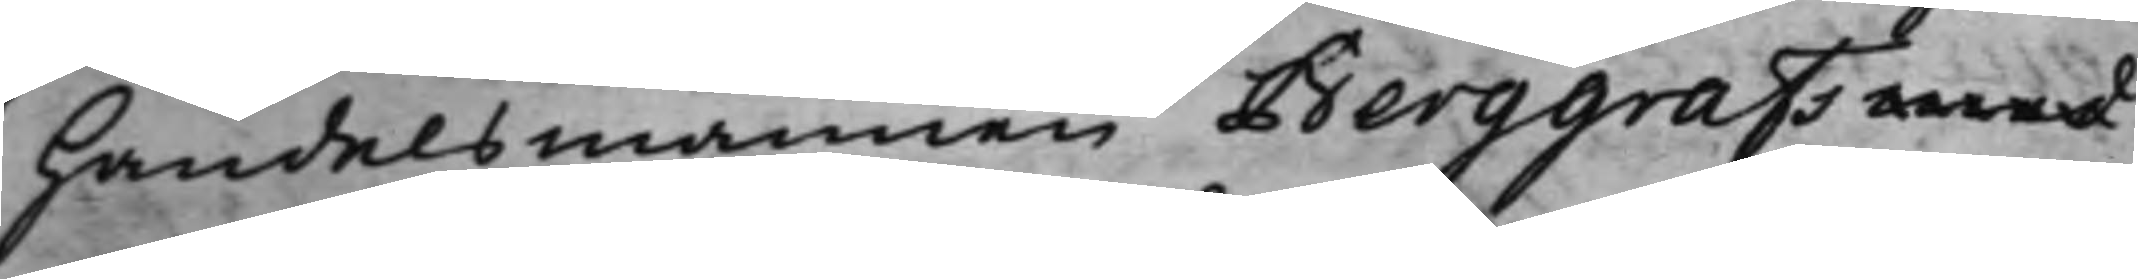Handelsmannen Berggrafs med
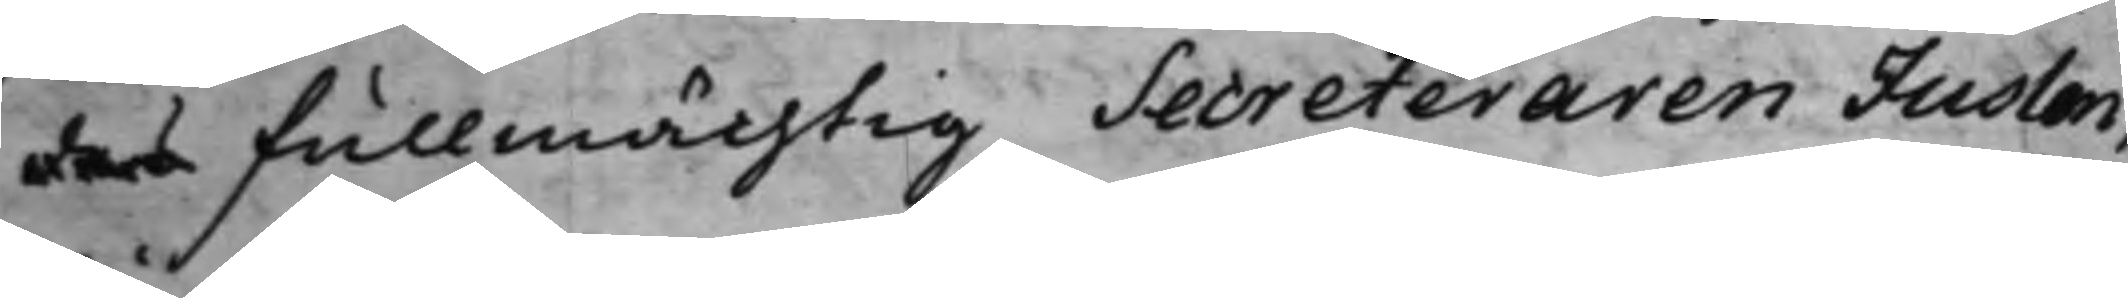des Fullmächtig Secreteraren Juslen,
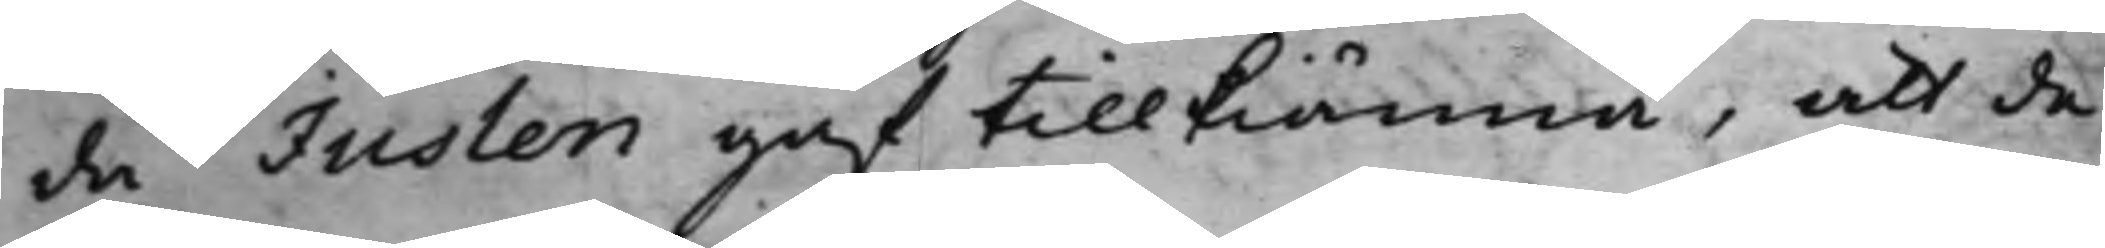då Juslen gaf tillkiänna, att de
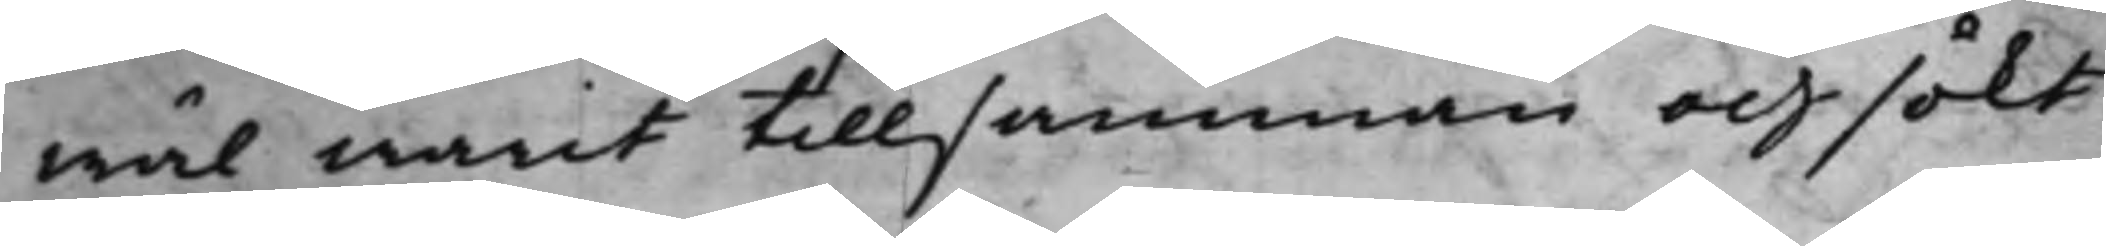wäl warit tillsamman och sökt
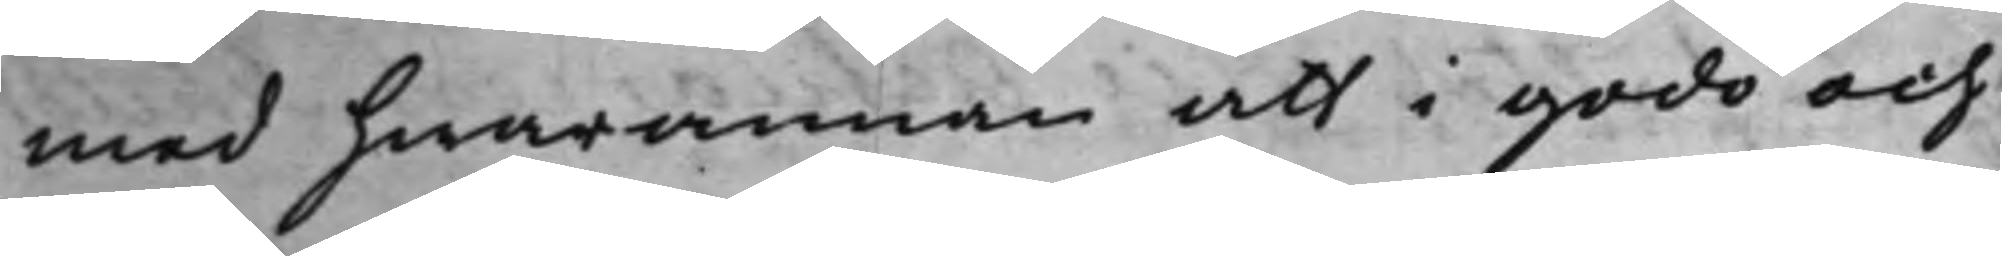med hwarannan att i godo och
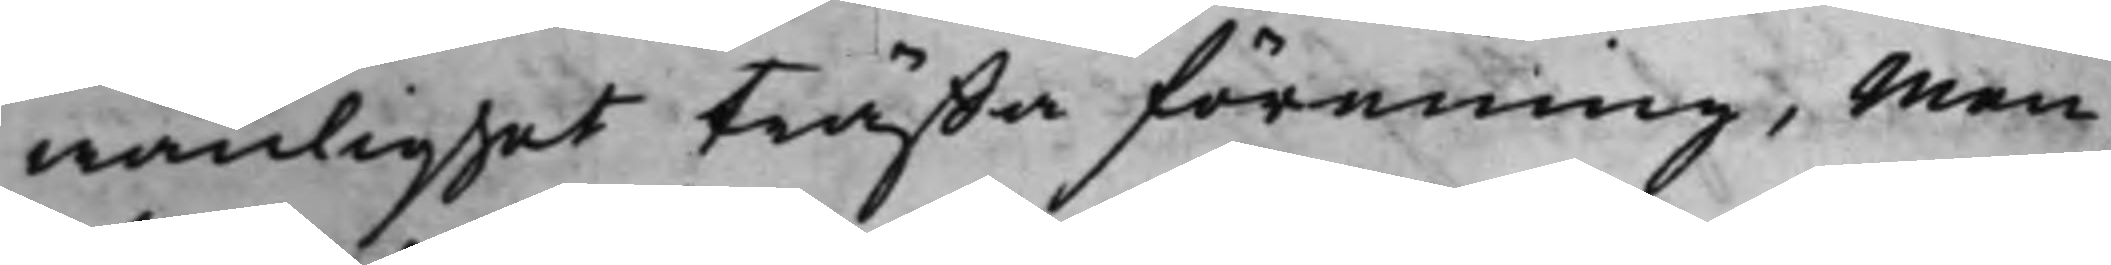wänlighet träffa förening, Men
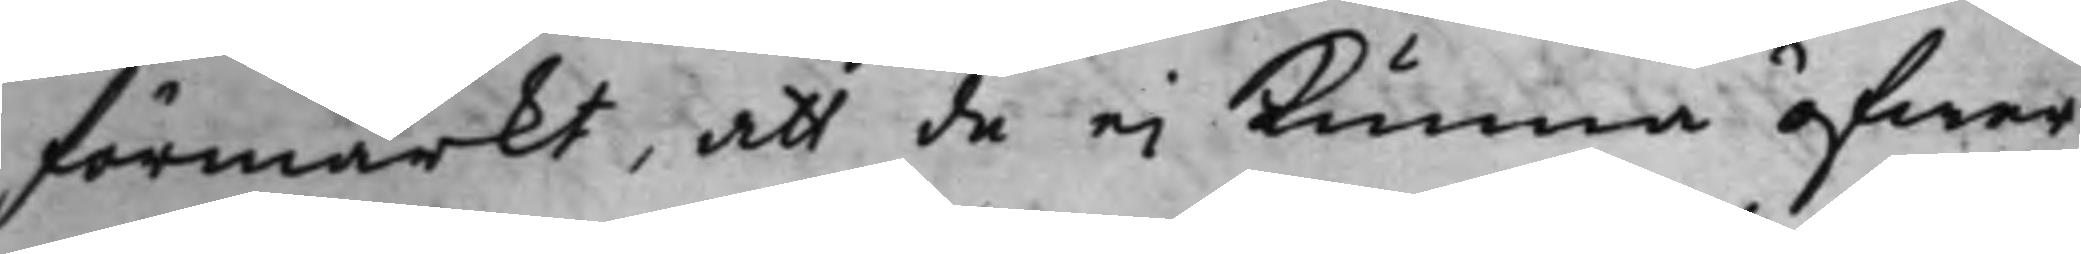Förmärkt, att de ej kunna öfwer¬
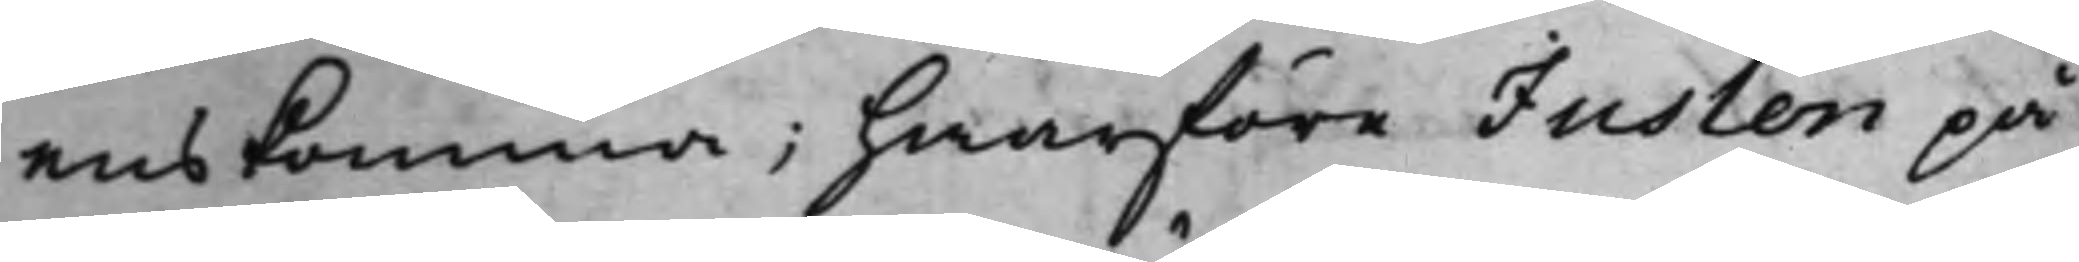enskomma; hwarföre Juslen på
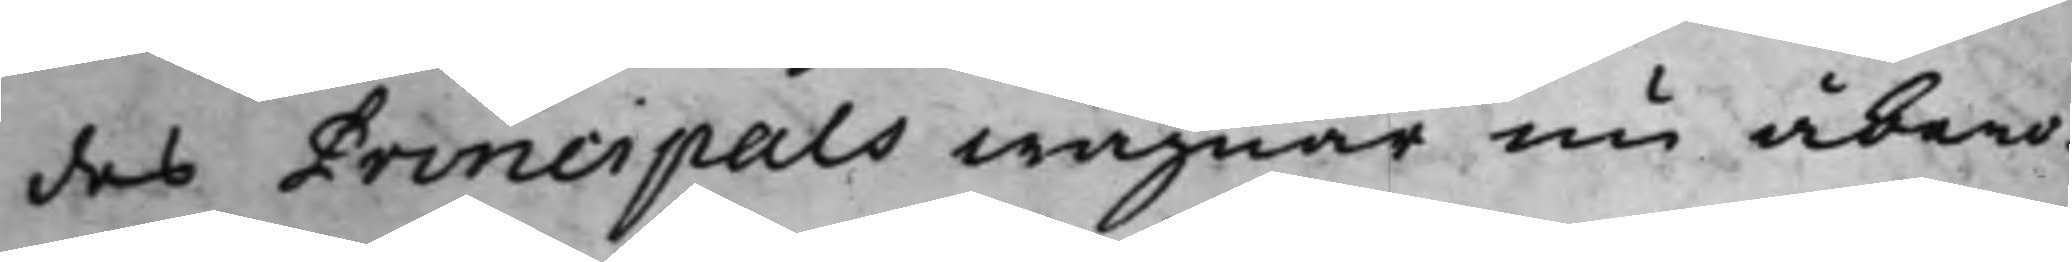des Principals wägnar nu åbero¬
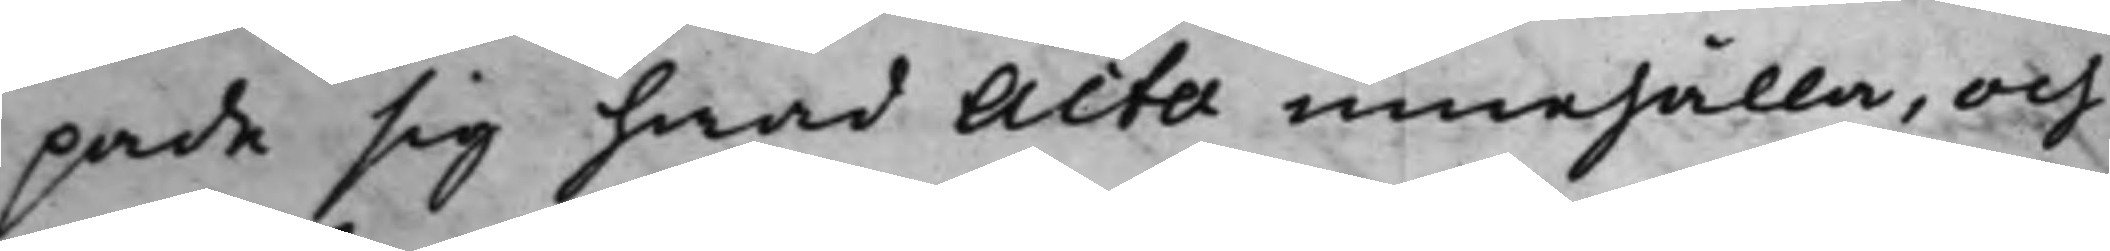pade sig hwad Acta innehålla, och
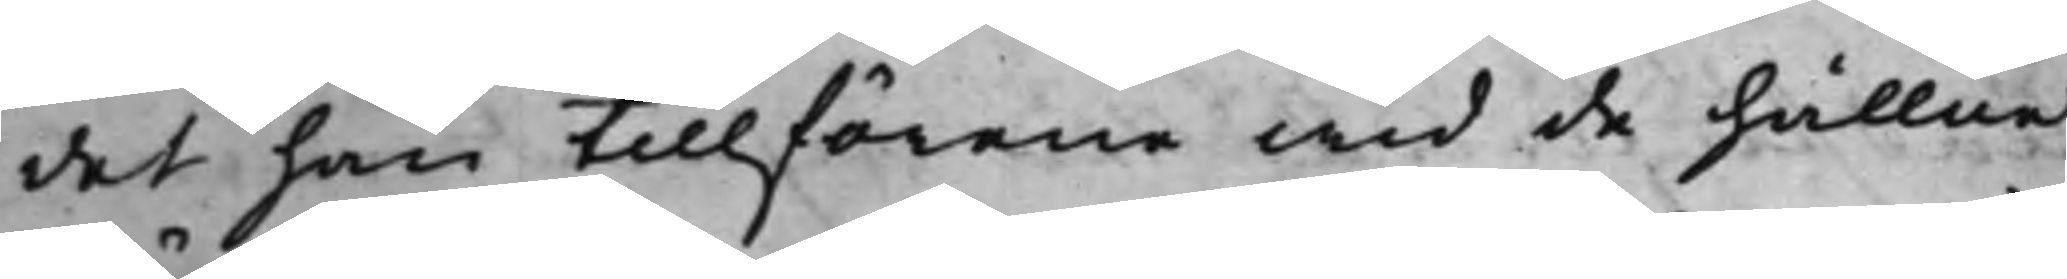det han tillförene wid de hållna
